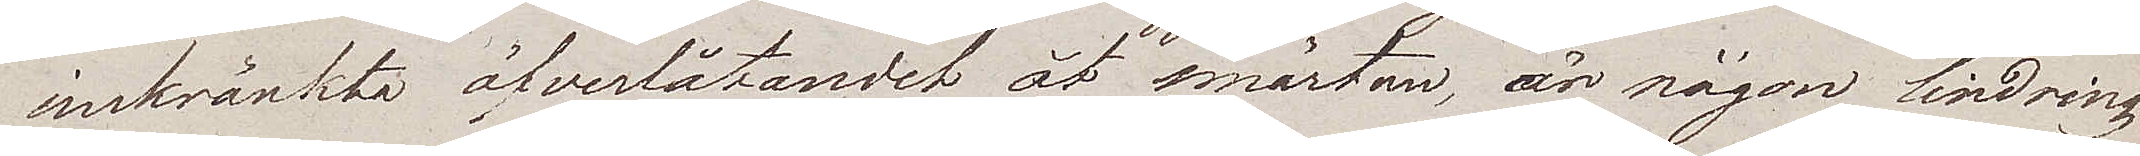inskränkta öfverlåtandet åt smärtan, är någon lindring
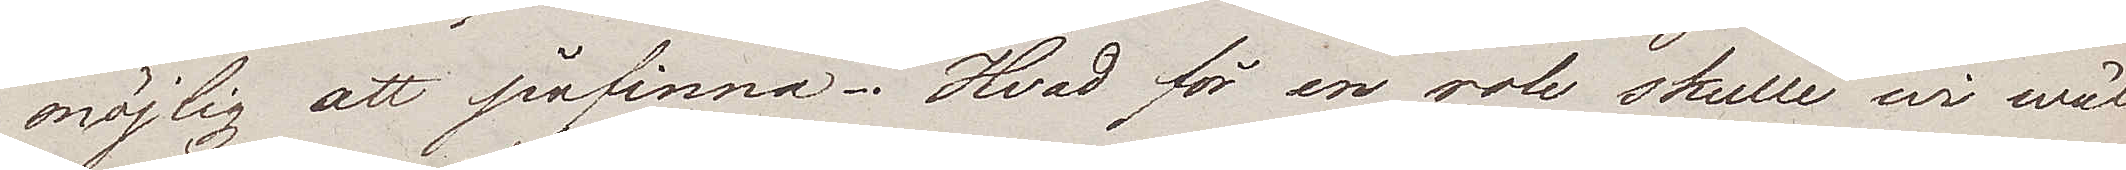möjlig att påfinna. Hvad för en role skulle wi wäl
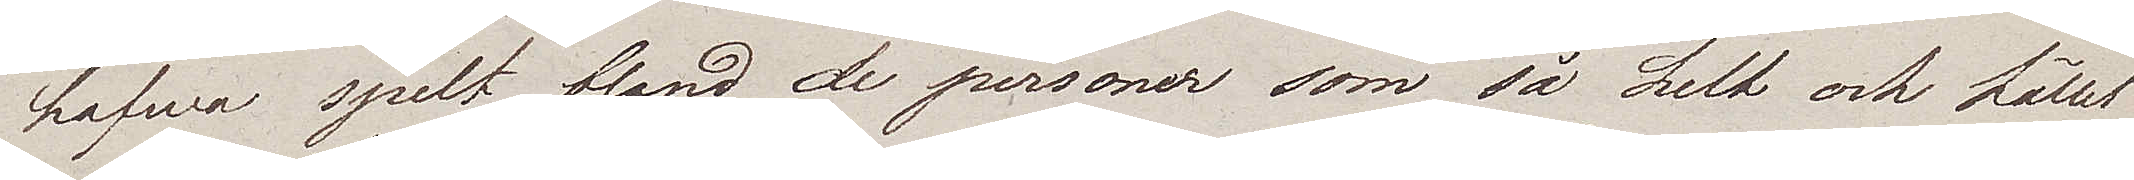hafwa spelt bland de personer som så helt och hållet
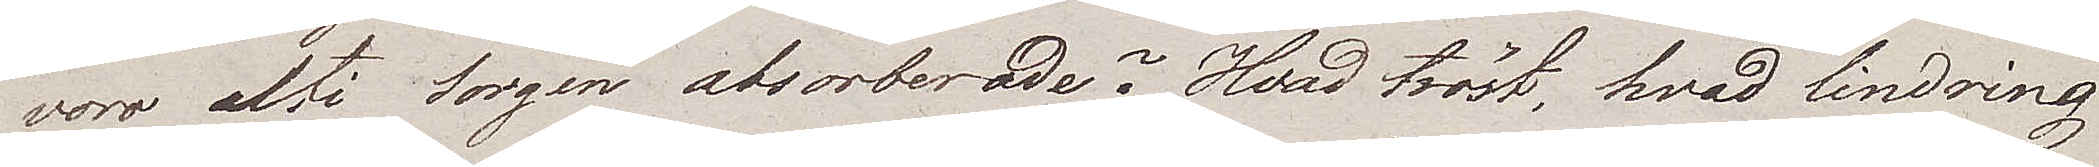voro alti sorgen absorberade? Hvad tröst, hvad lindring
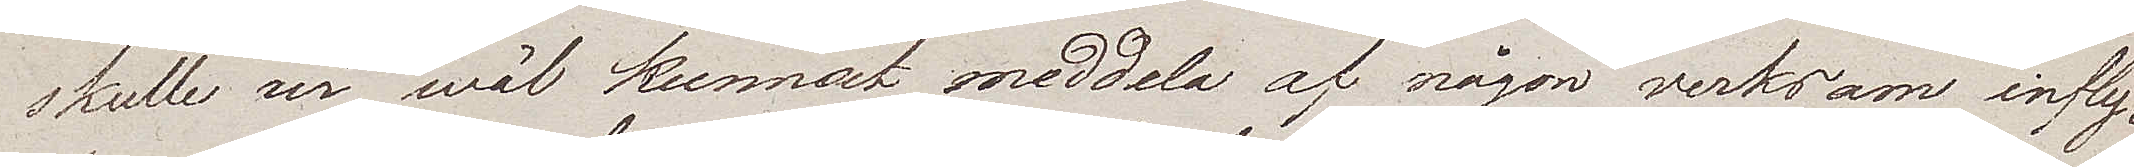skulle wi wäl kunnat meddela af någon verksam infly¬
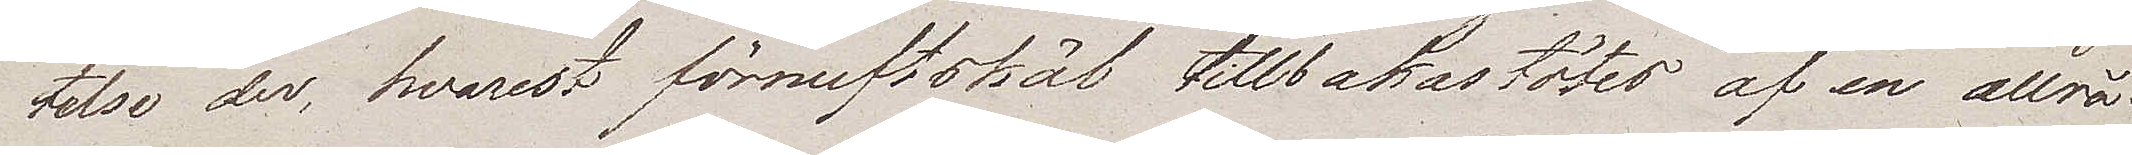telse der, hvarest förnuftskäl tillbakastötes af en allrå¬
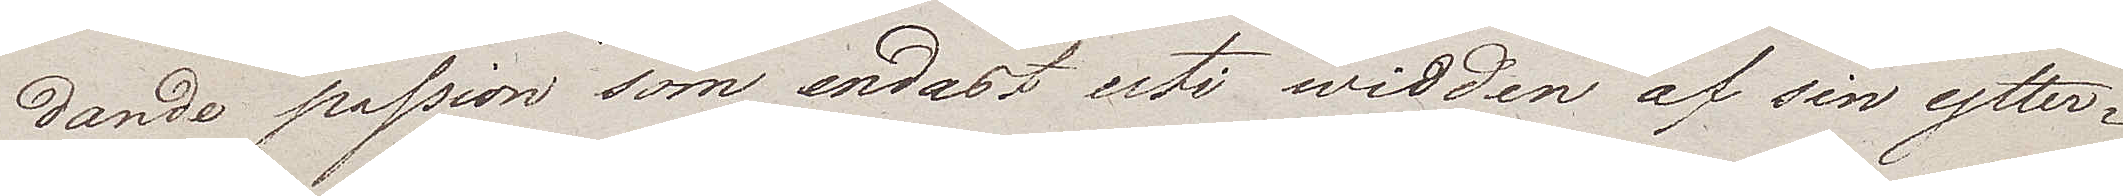dande passion som endast uti widden af sin ytter¬
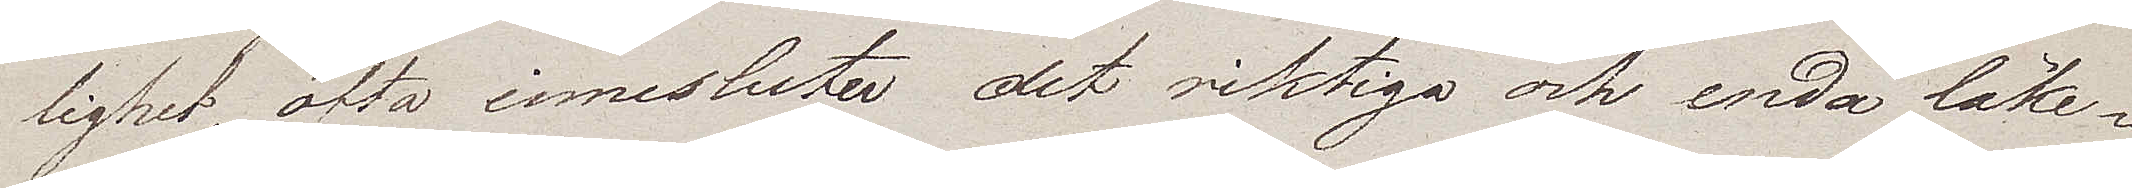lighet, ofta innesluter det riktiga och enda läke¬
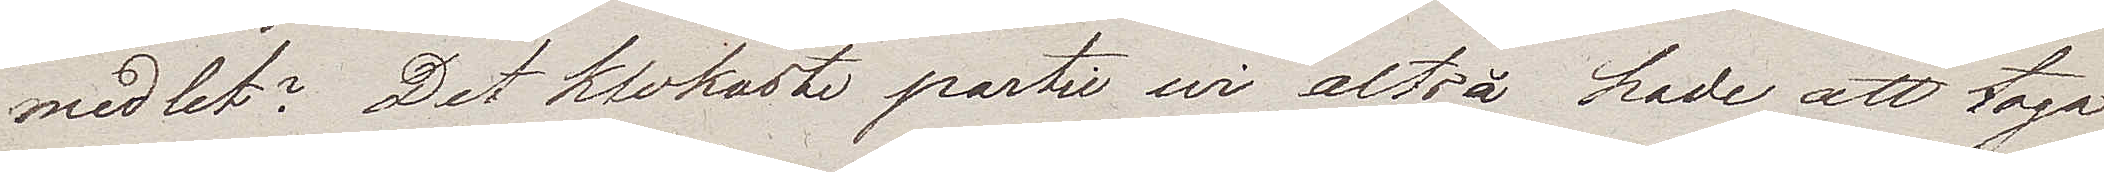medlet? Det klokaste partie wi altså hade att taga
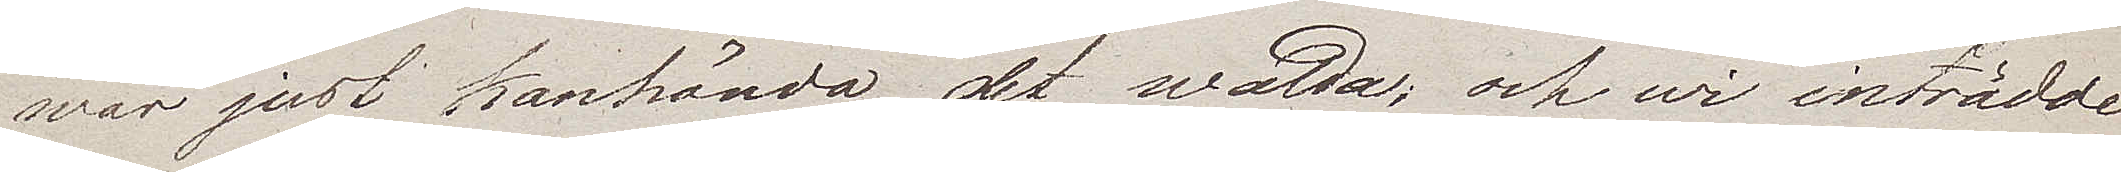war just kanhända det walda; och wi inträdde
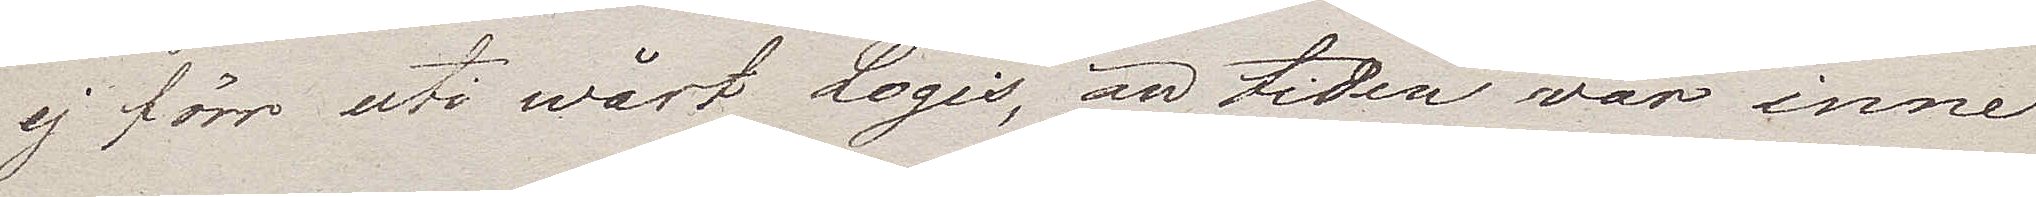ej förr uti wårt Logis, än tiden var inne
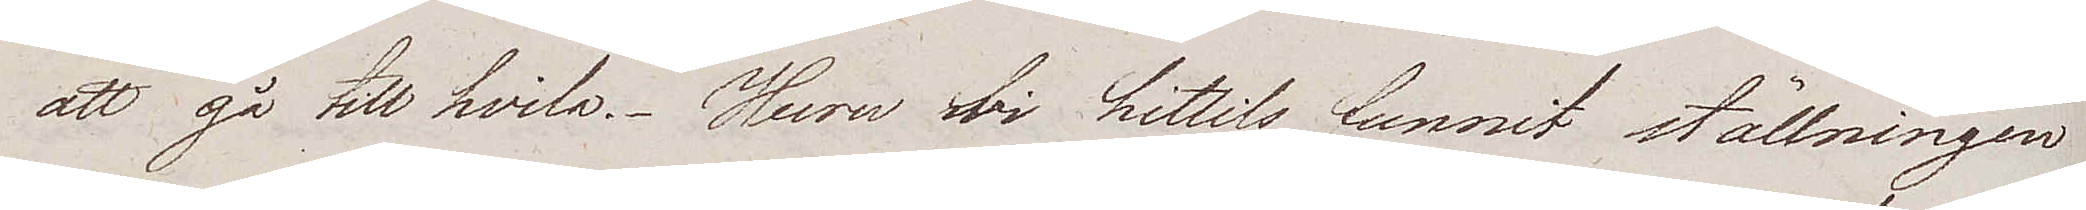att gå till hvila. Huru wi hittills funnit ställningen
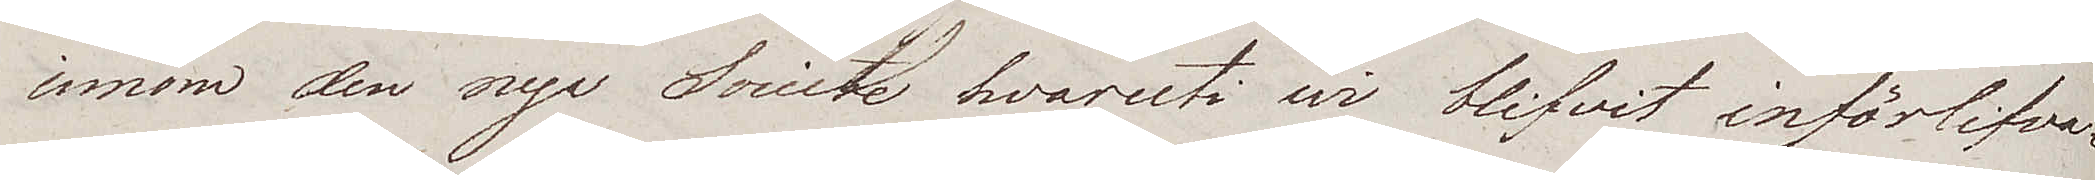innom den nya Societe hvaruti wi blifvit införlifva¬
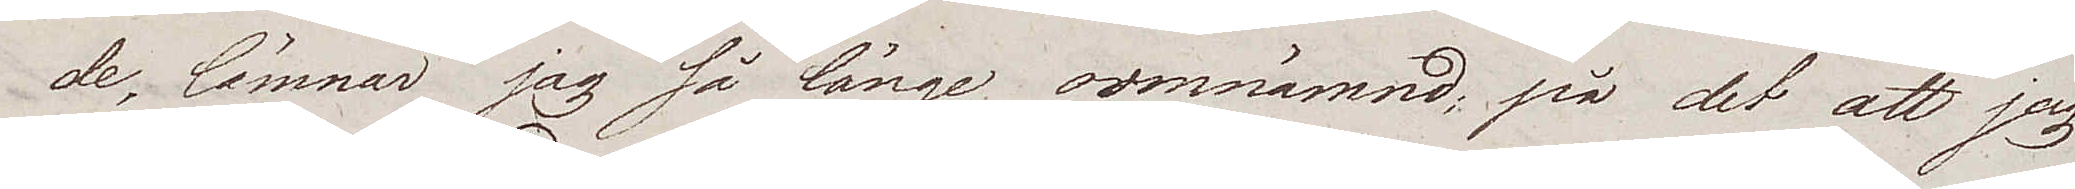de, lämnar jag så länge oomnämnd; på det att jag
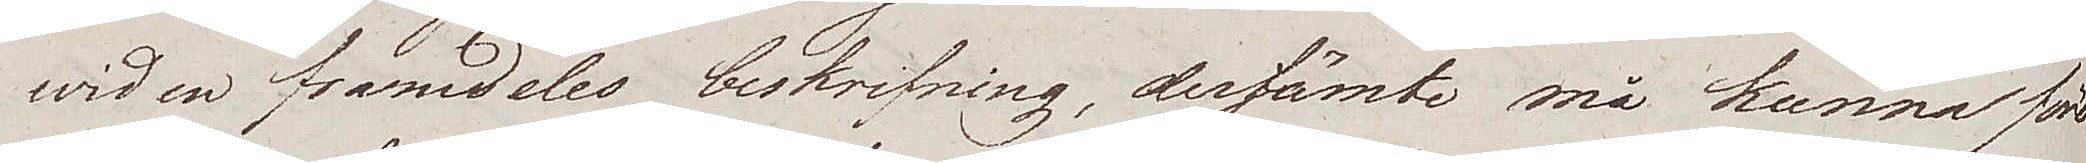wid en framdeles beskrifning, derjämte må kunna före¬
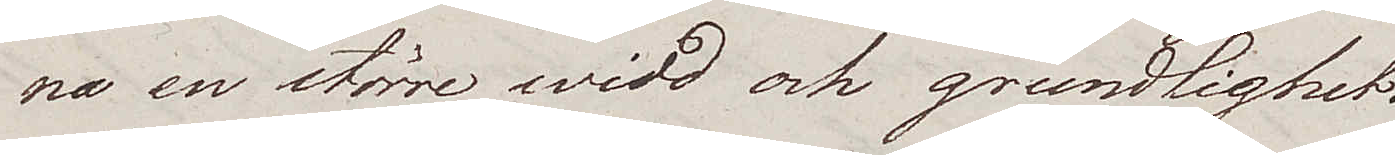na en större widd och grundlighet.
